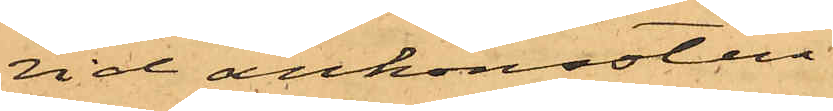vid ankomsten
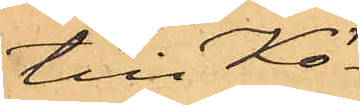till Kö¬
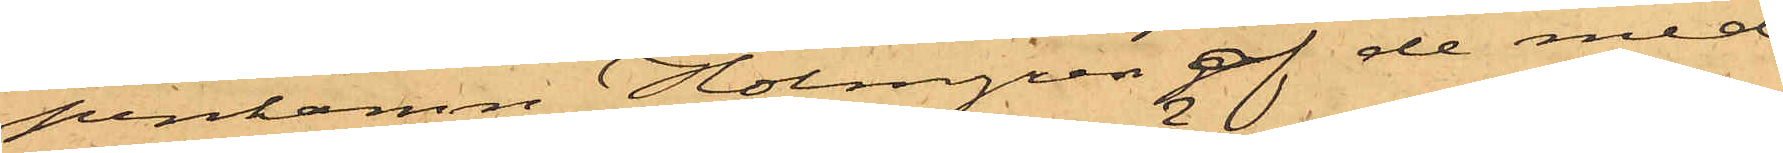penhamn Holmgren af de med¬
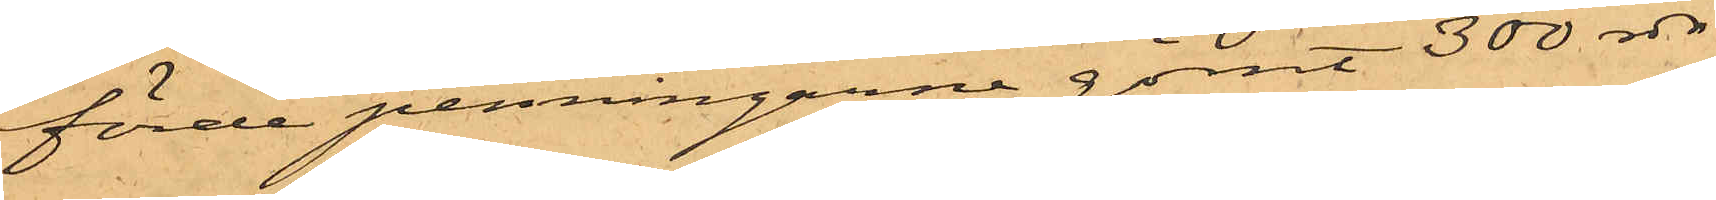förde penningarne gömt 300 rdr
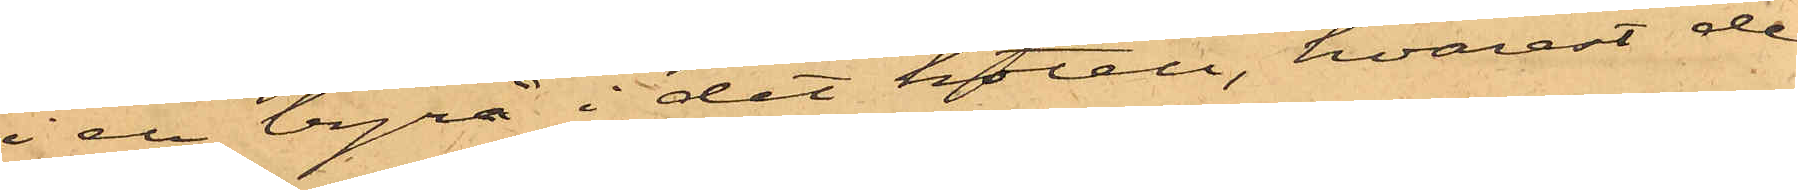i en byrå i det hotel, hvarest de
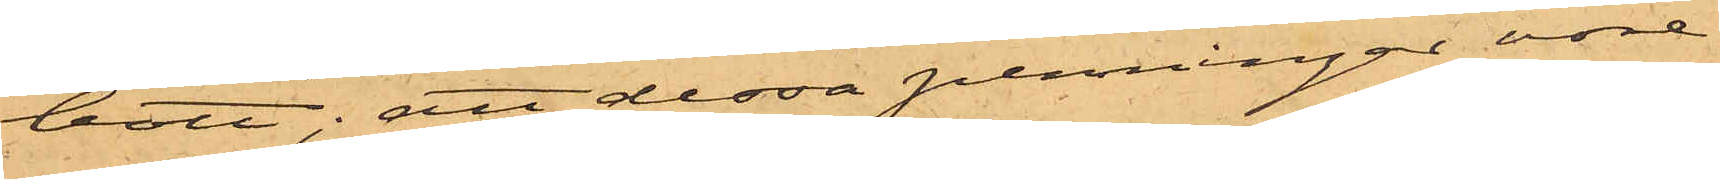bott; att dessa penningar vore
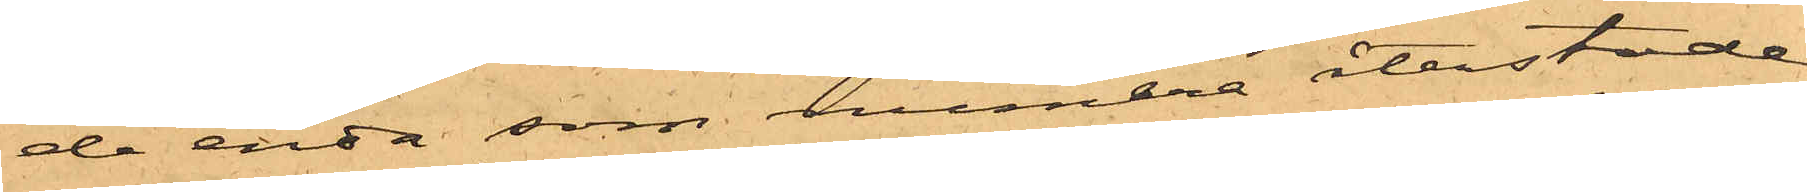de enda som numera återstode
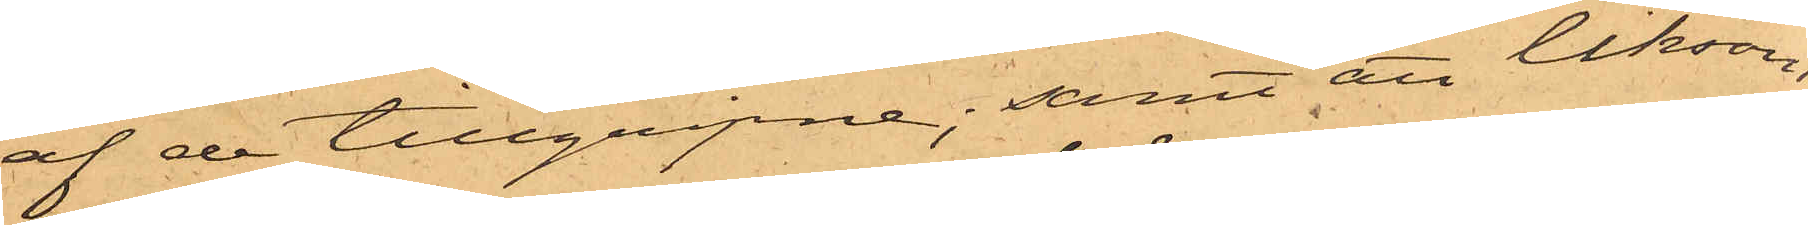af de tillgripne; samt att liksom
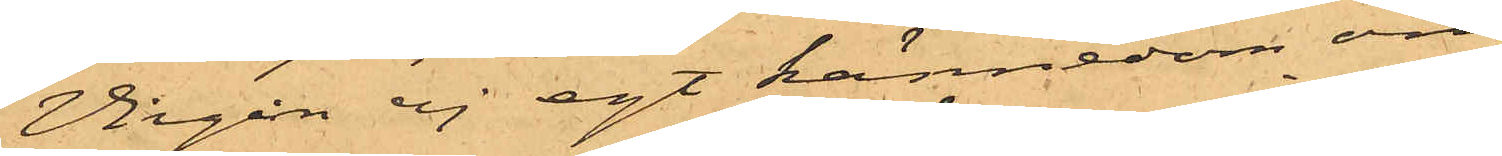Virgin ej egt kännedom om
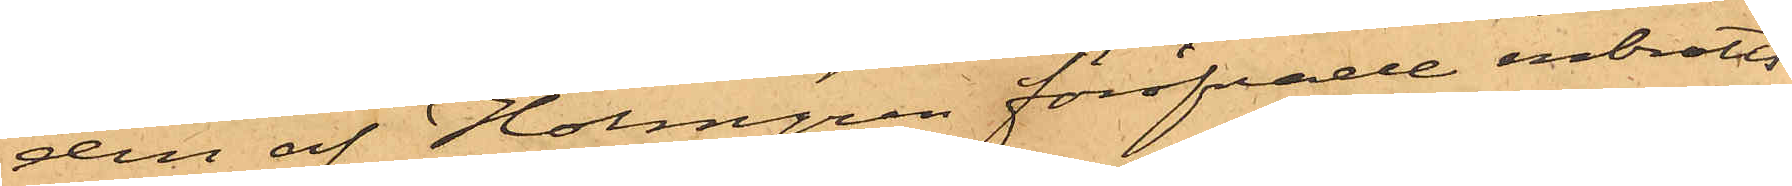den af Holmgren föröfvade inbrotts¬
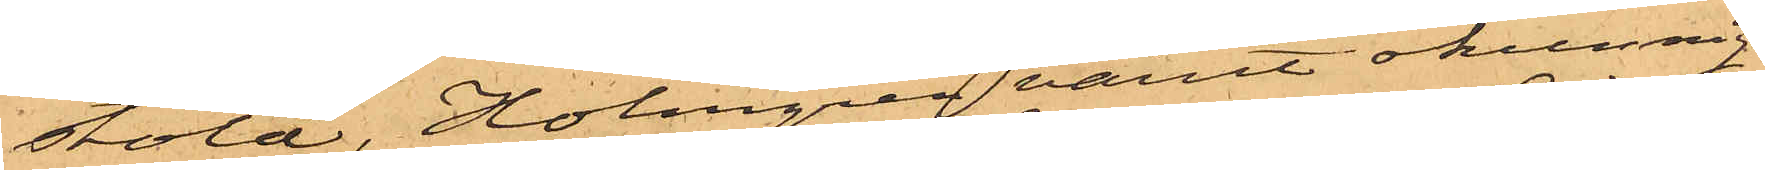stöld, Holmgren varit okunnig
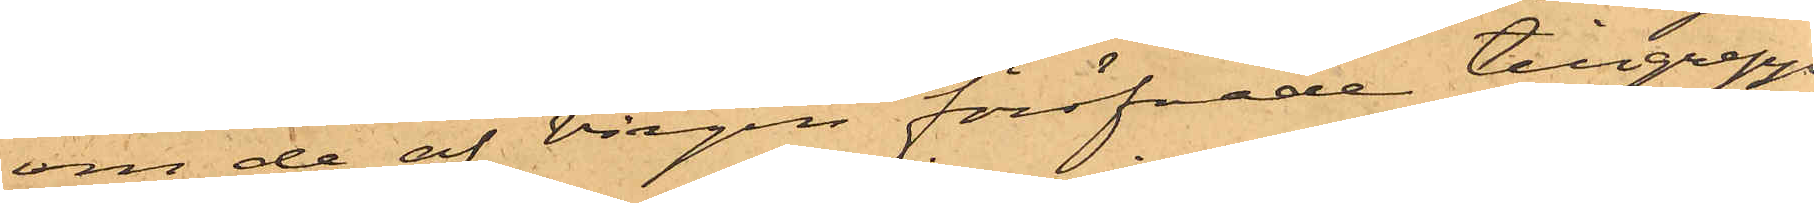om de af Virgin föröfvade tillgrepp,
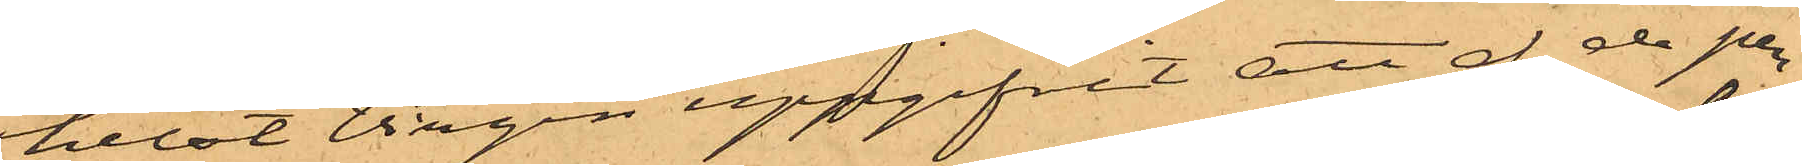helst Virgin uppgifvit att af de pen¬
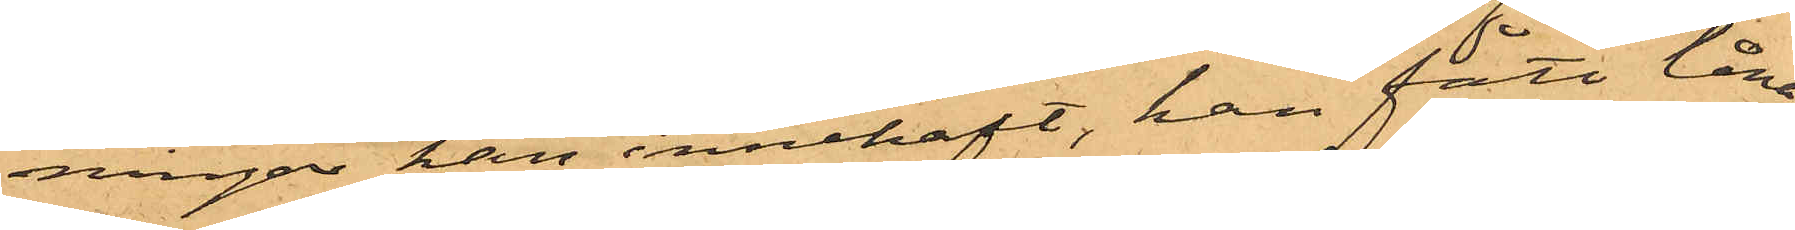ningar han innehaft, han fått låna
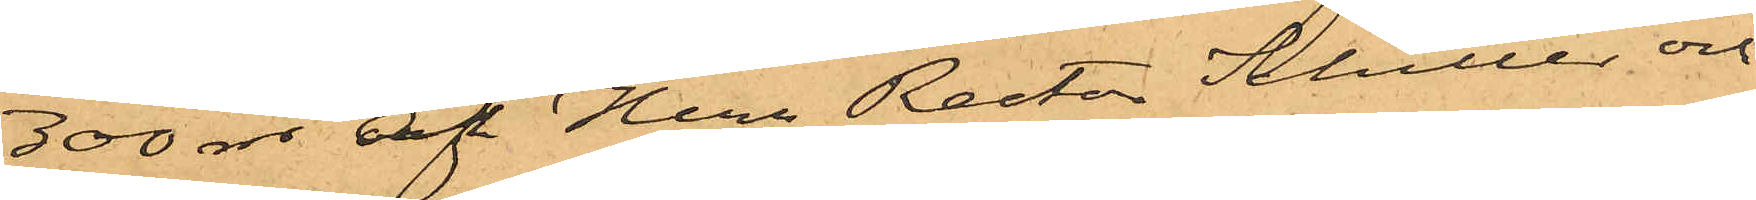300 rdr af Herr Rector Schiller och
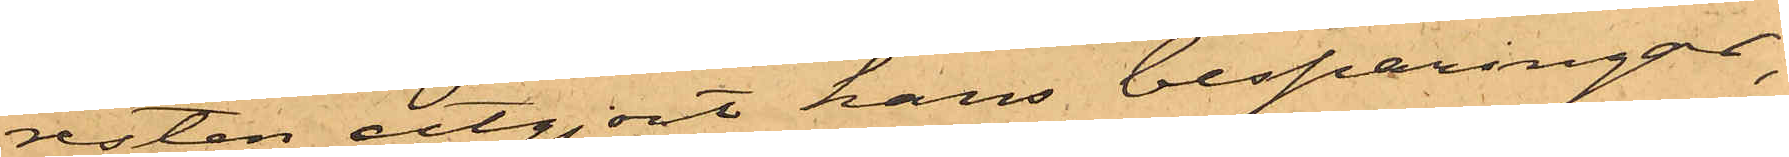resten utgjort hans besparingar;
